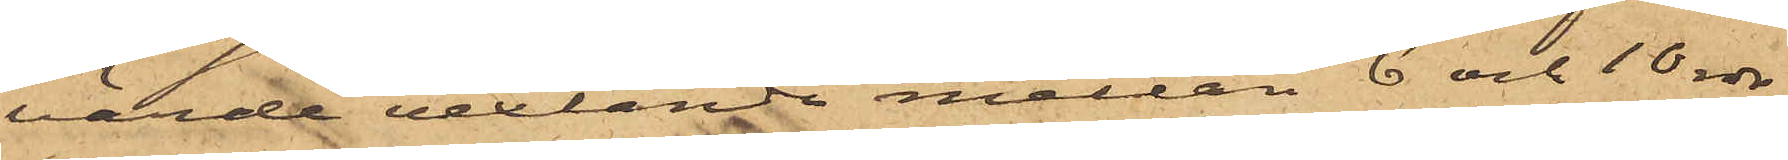värde vexlande mellan 6 och 10 rdr
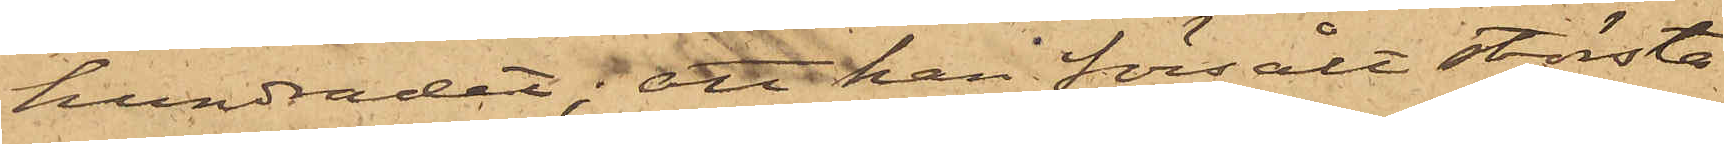hundradet; att han försålt största
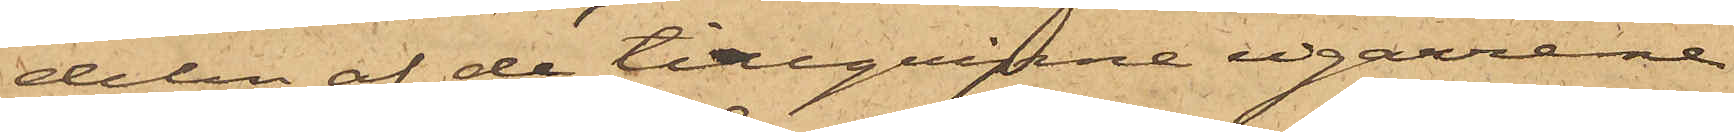delen af de tillgripne cigarrerne
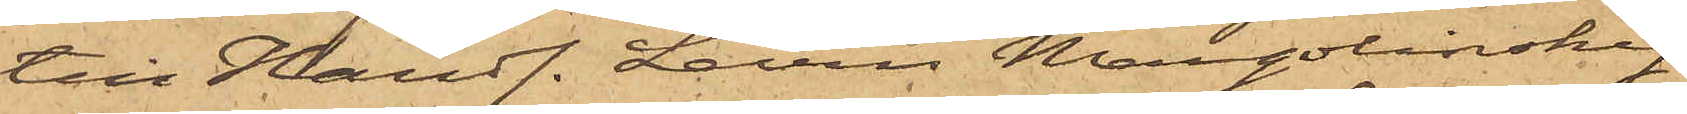till Handl. Levin Margolinsky
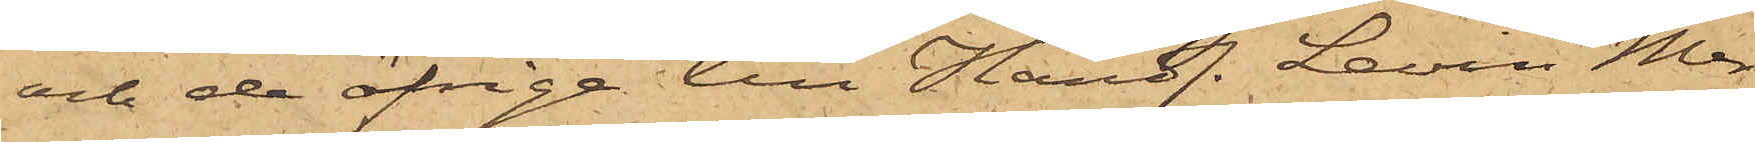och de öfrige till Handl. Levin Mer¬
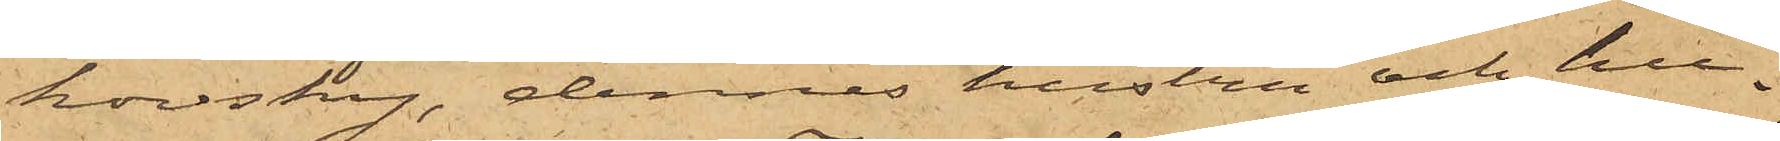kovsky, dennes hustru och hu¬
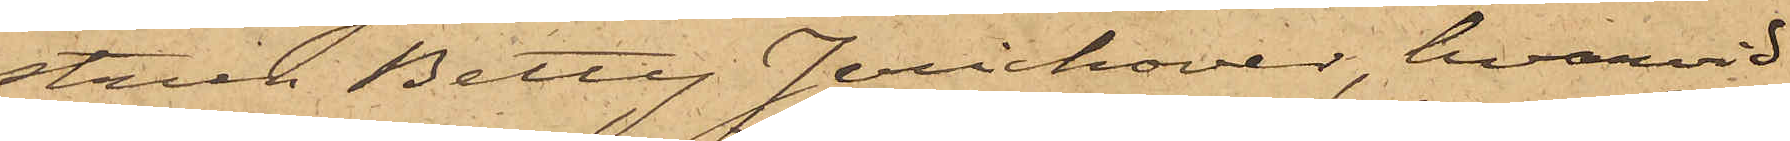strun Betty Jerichover, hvarvid
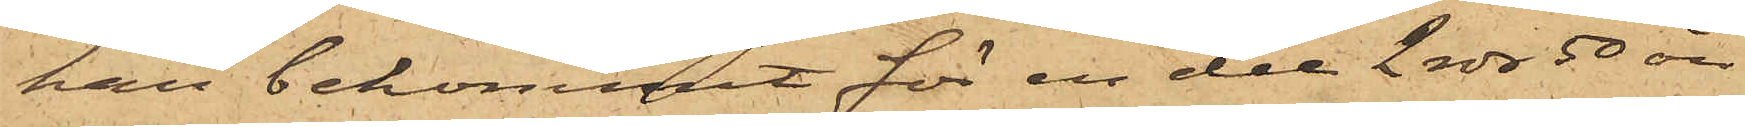han bekommit för en del 2 rdr 50 öre
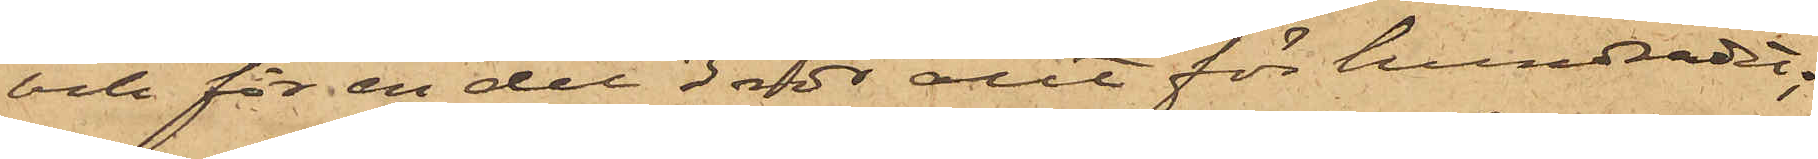och för en del 3 rdr allt för hundradet;
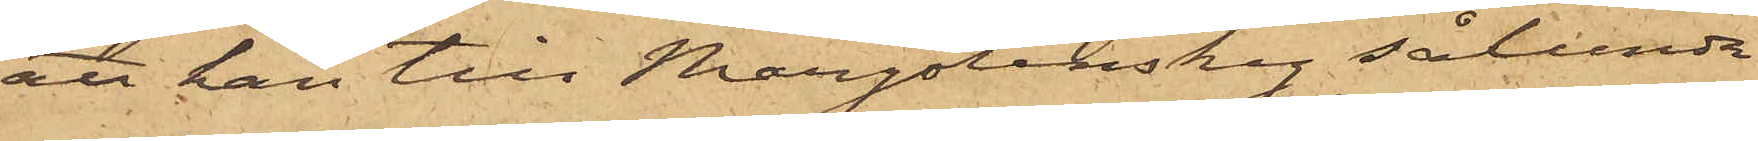att han till Margolinsky sålunda
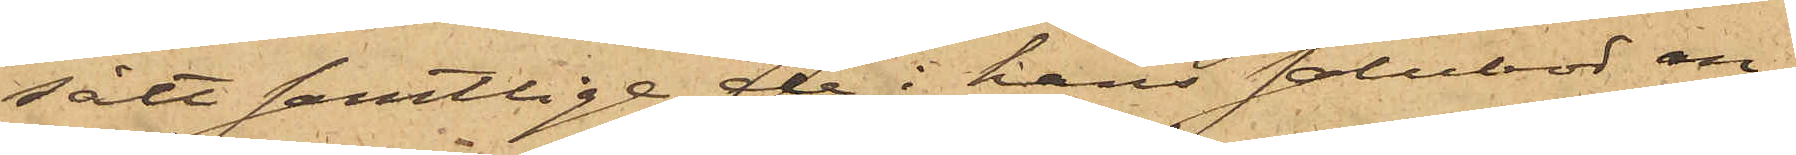sålt samtlige de i hans salubod an¬
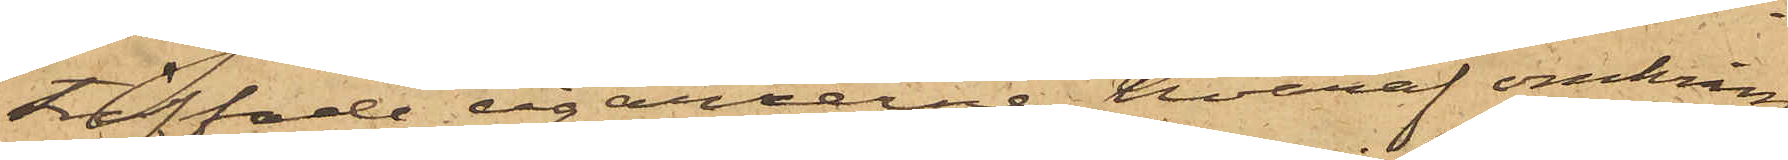träffade cigarrerne, hvaraf omkring
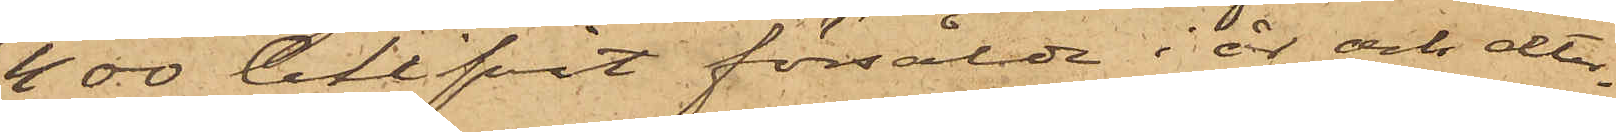400 blifvit försålde i år och åter¬
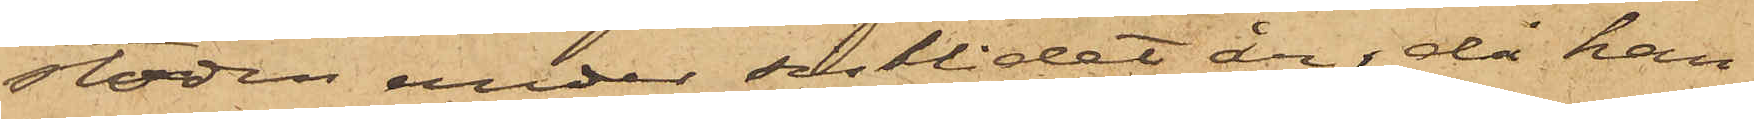stoden under sistlidet år, då han
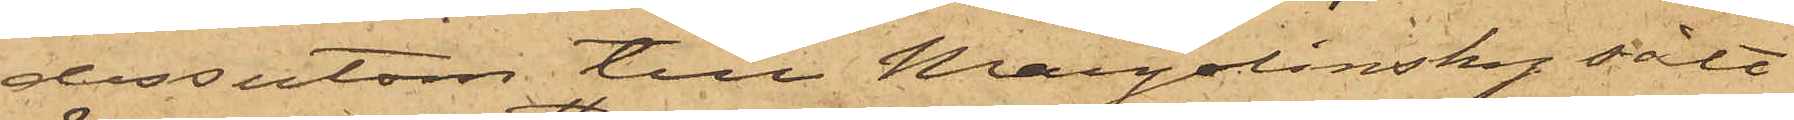dessutom till Margolinsky sålt
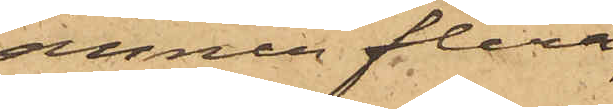ännu flera;
